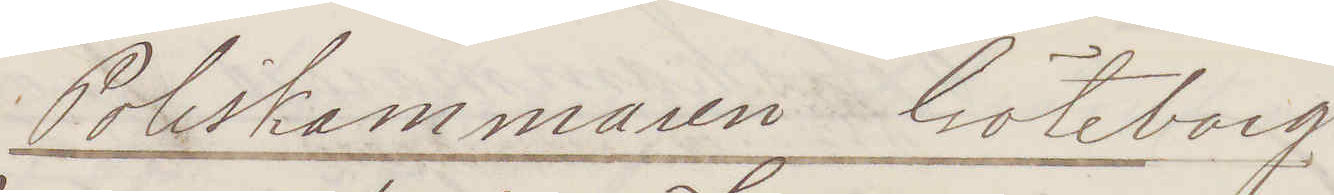Poliskammaren Göteborg.
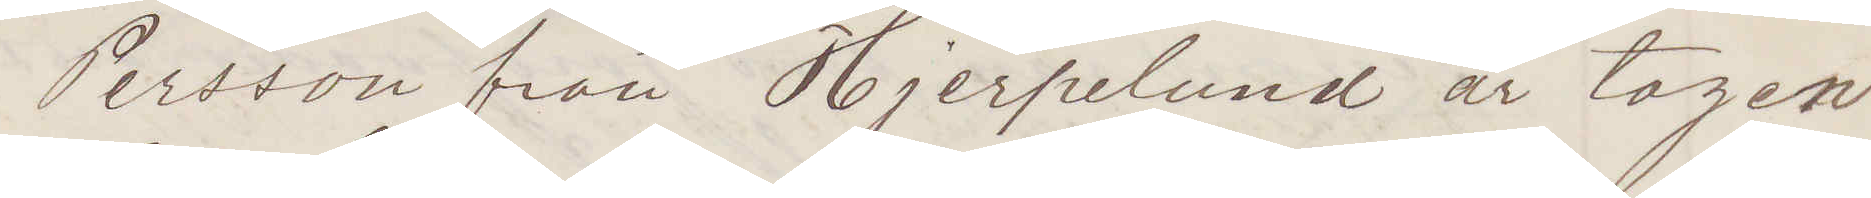Persson från Hjerpelund är tagen
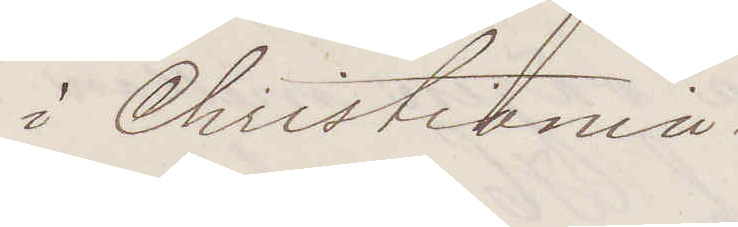i Christiania
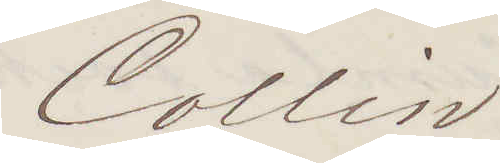Collin
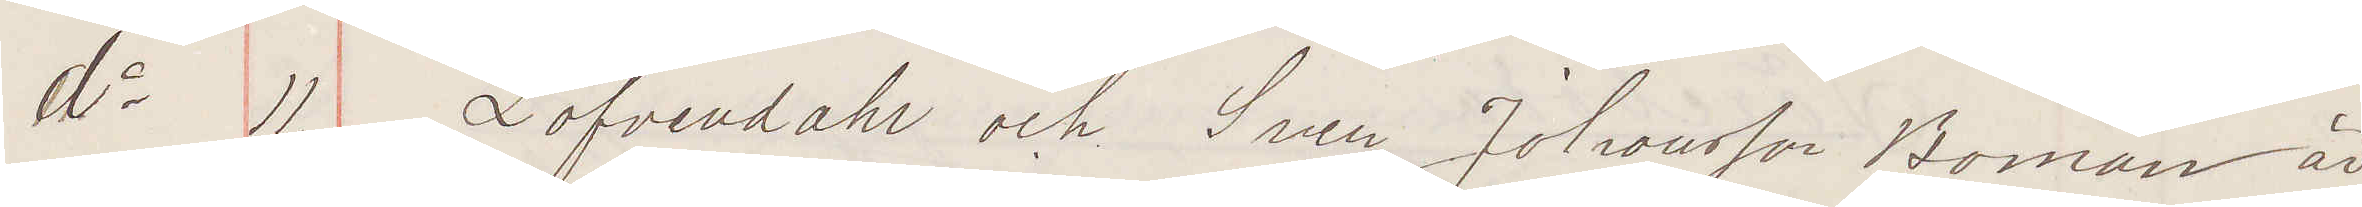do 11. Löfvendahl och Sven Johansson Boman är
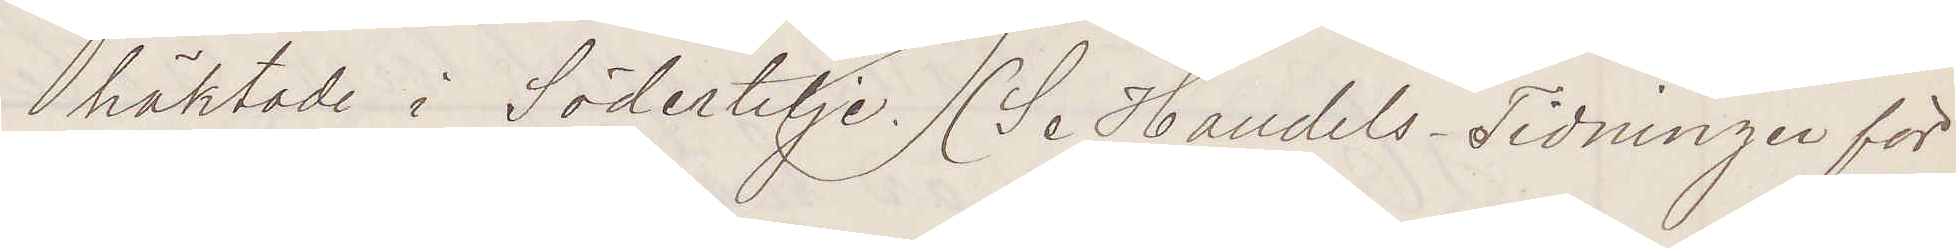häktade o Södertelje. (Se Handels-Tidningen för
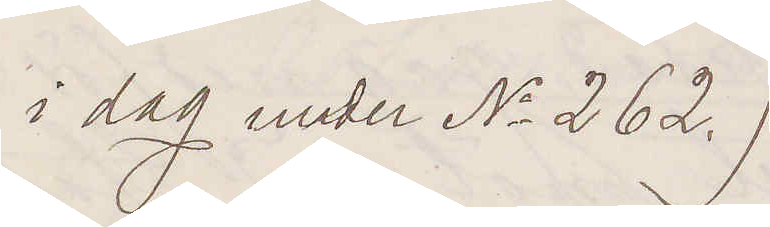i dag under No 262.)
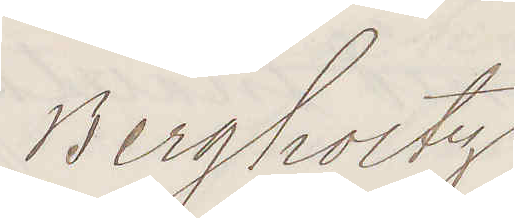Bergholtz.
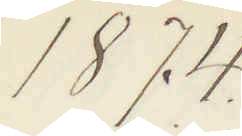1874
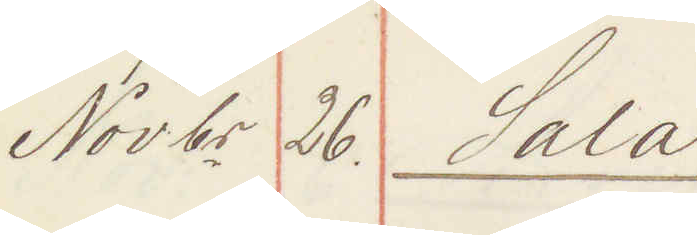Novbr 26. Sala:
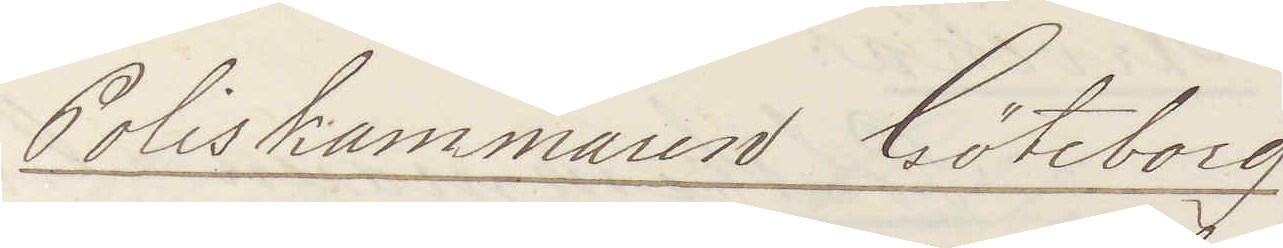Poliskammaren Göteborg
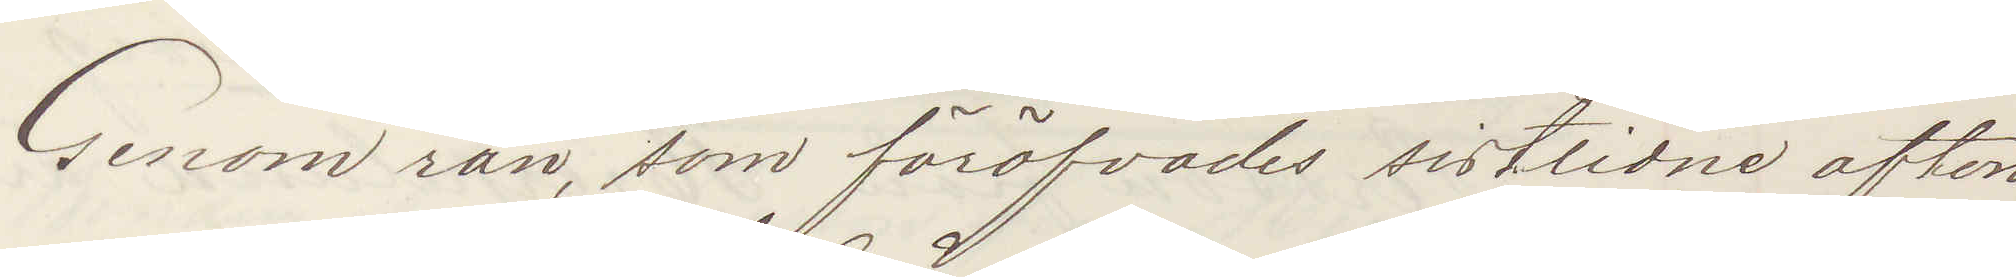Genom rån, som föröfvades sistlidne afton
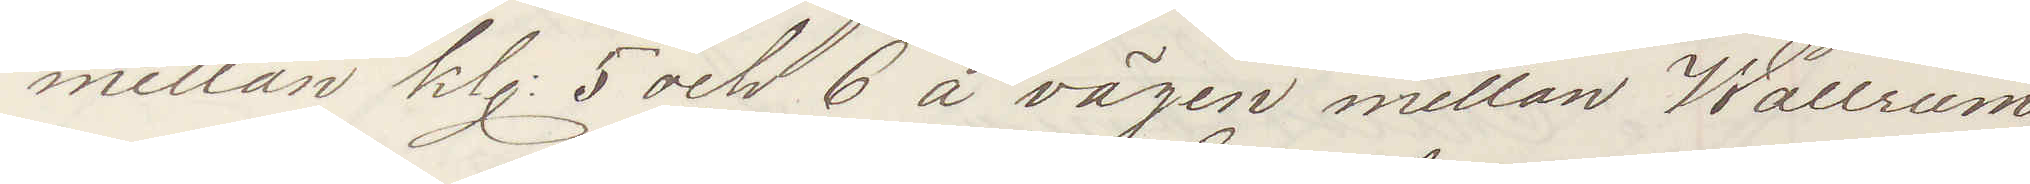mellan kl: 5 och 6 å vägen mellan Wallrum
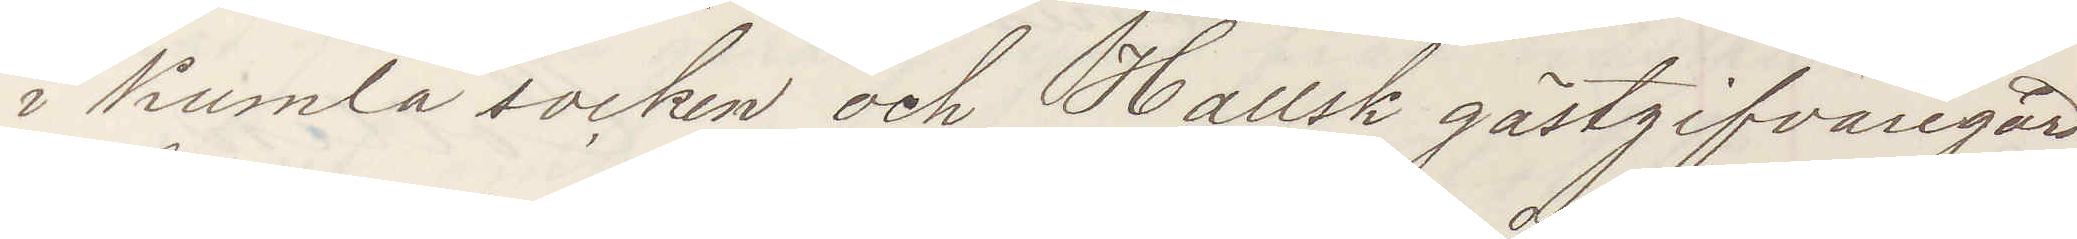i Kumla socken och Hallsk gästgifvaregård,
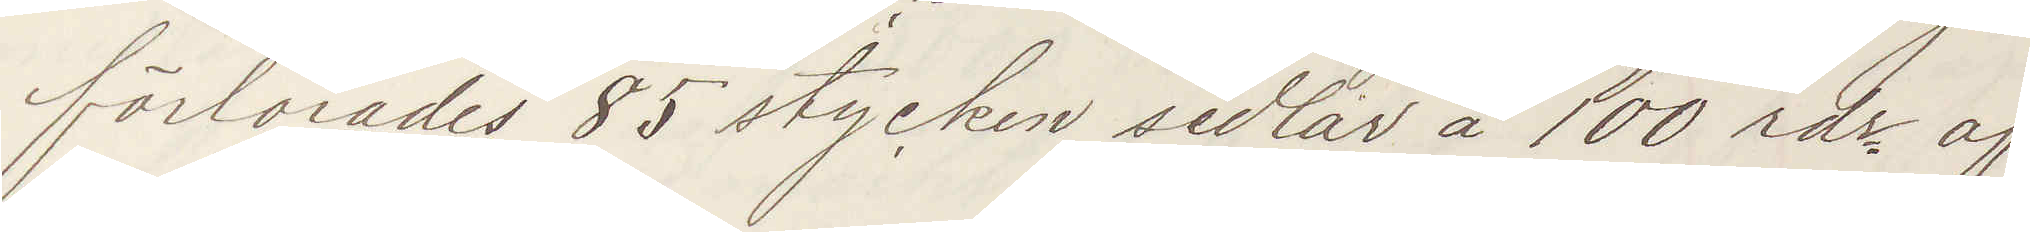förlorades 85 stycken sedlar å 100 rds af
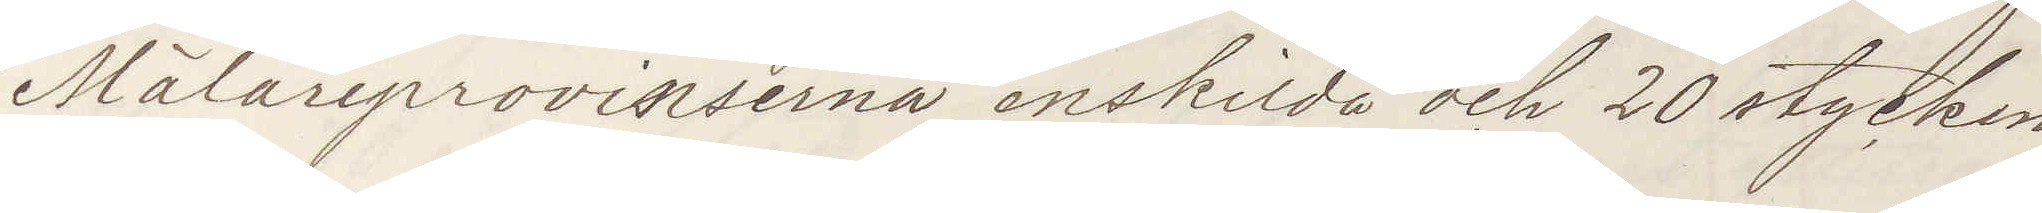Mälarprovinserna enskilda och 20 stycken
